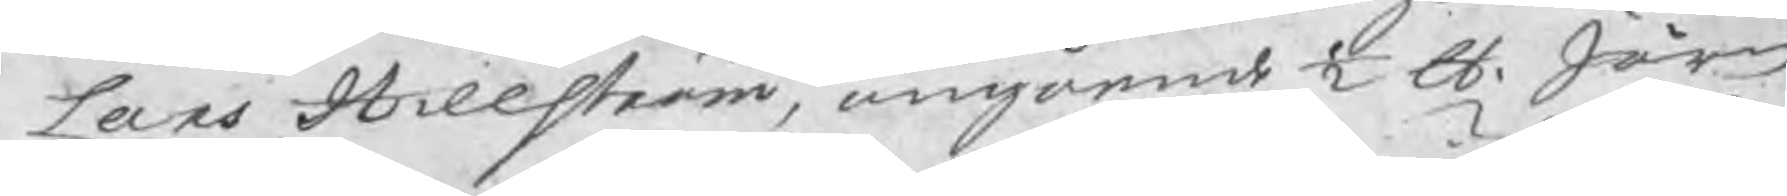Lars Hillström, angående ½ Skl. Järn
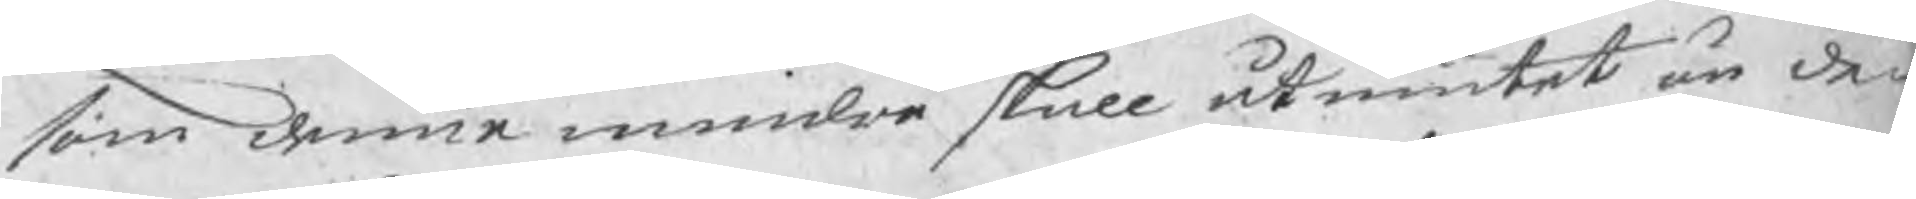som denne mindre skall åtniutat än de 
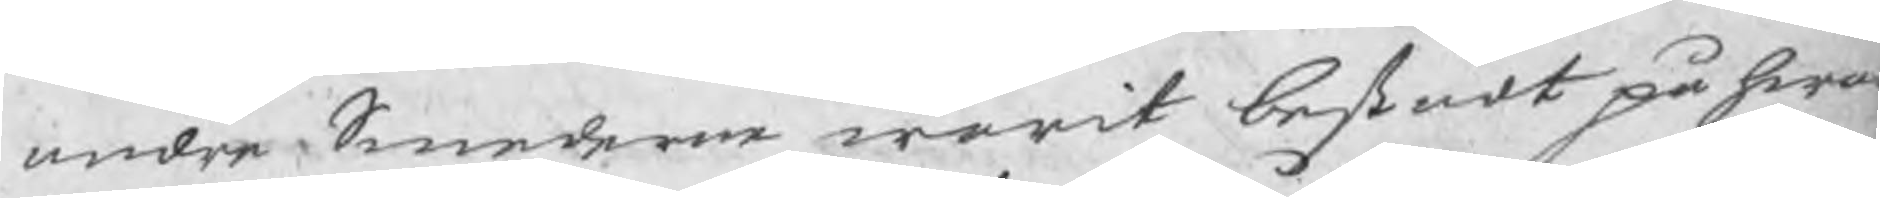andre Smederne warit bestådt på hwar
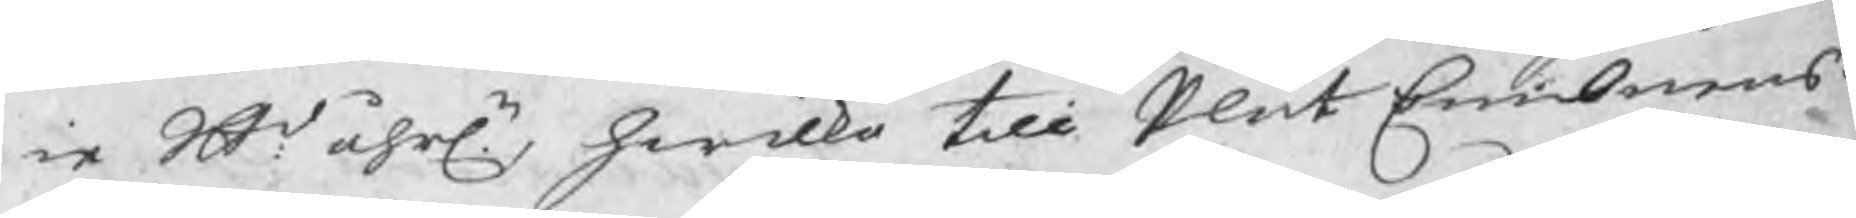ie Skl åhrln, hwilka till Plåt Embnens
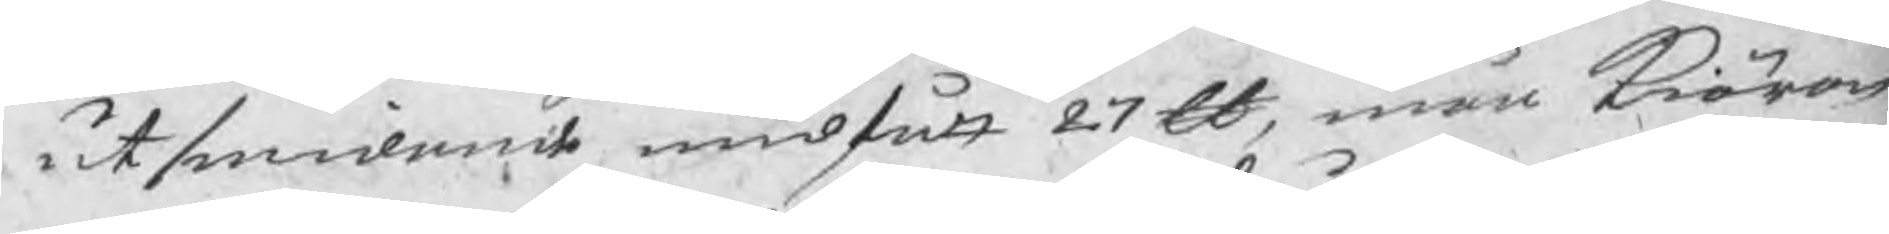utsmidande undfått 27 Skl, män kiäran
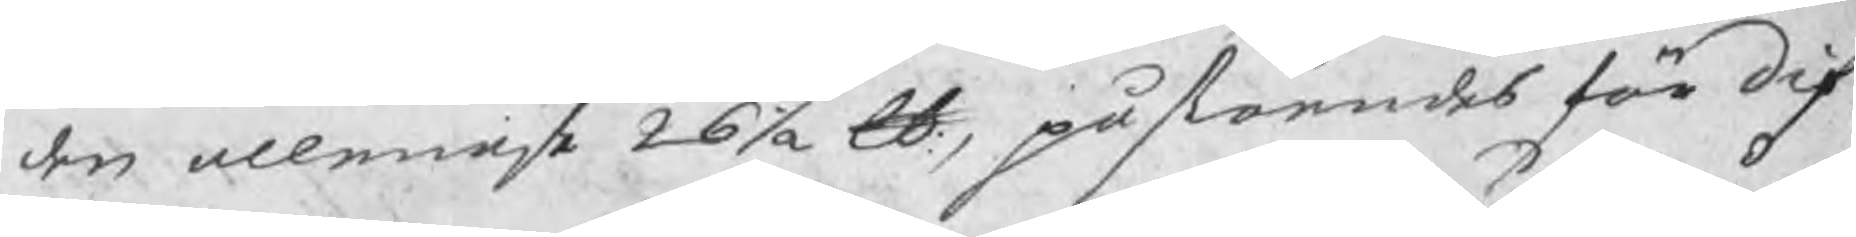den allenaste 26½ Skl, påståendes för dif-
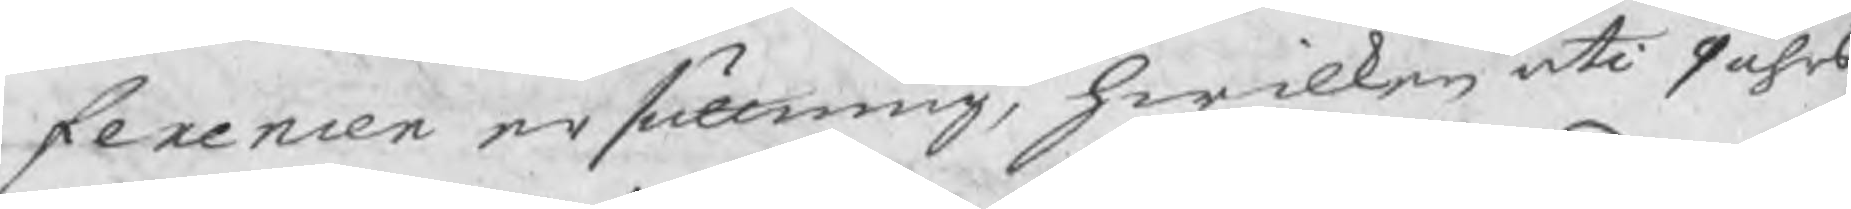ferencen ersättning, hwilken uti 9 åhrs
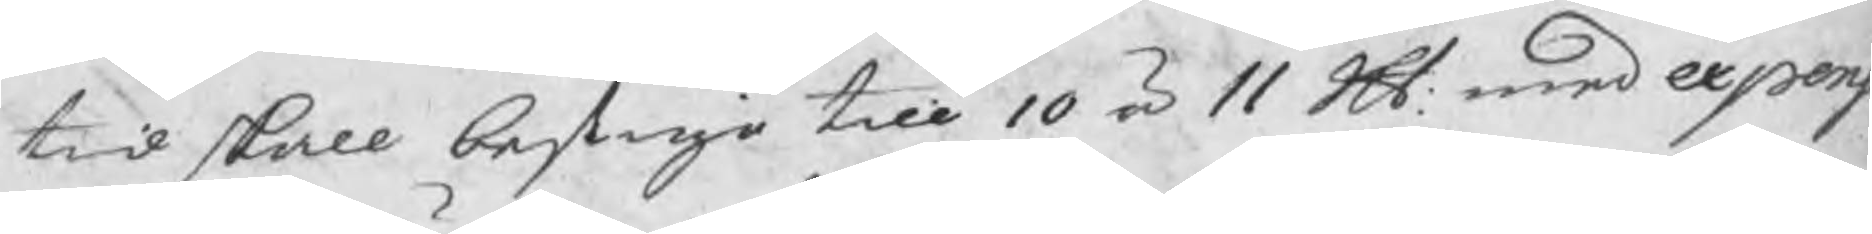tid skall bestiga till 10 à 11 Skl: med expensr
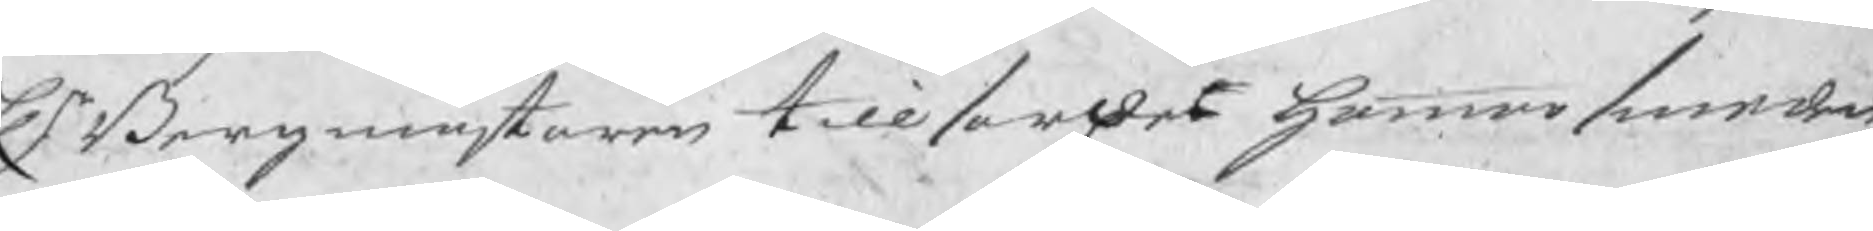Hr Bergmästaren tillsordes hammarsmeden
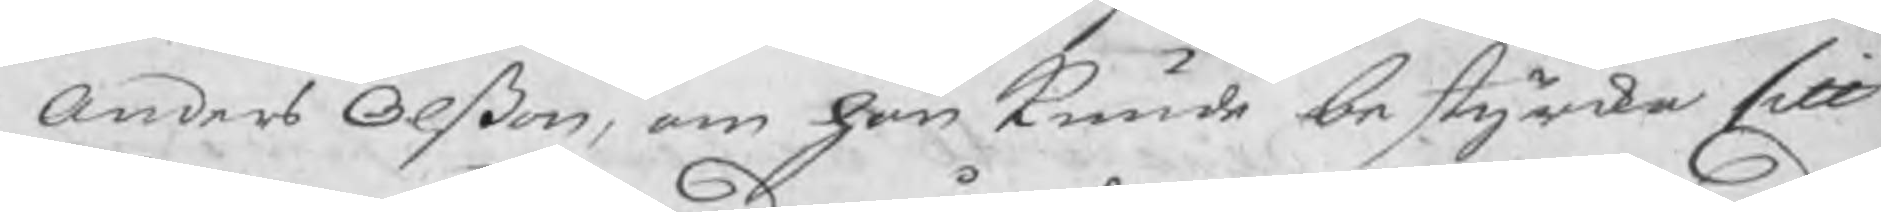Anders Olßon, om han kunde bestyrka sitt
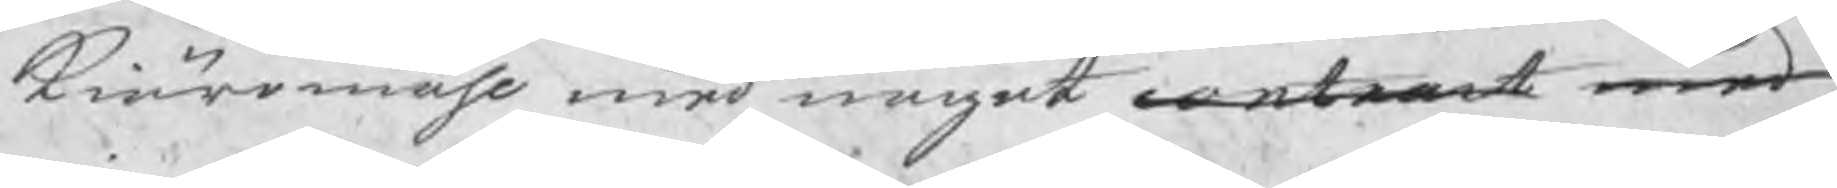kiäromåhl med något contract med
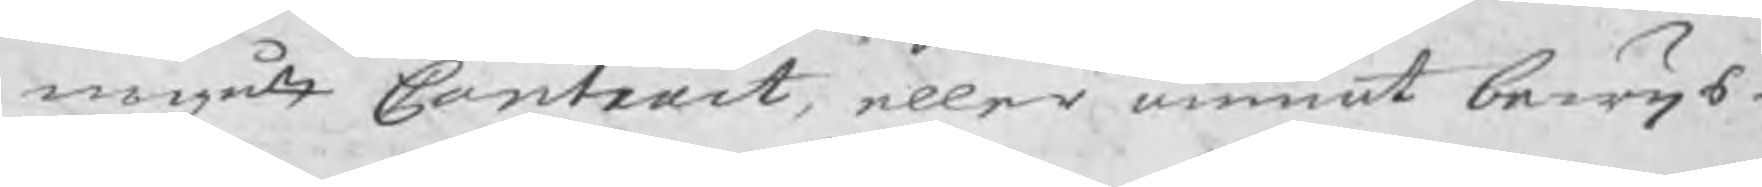ingått Contract, eller annat bewijs
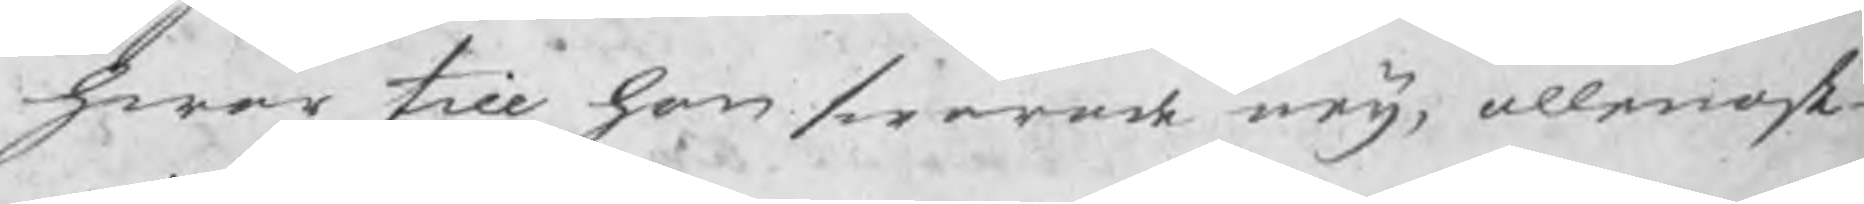hwar till han swarade neij, allenast
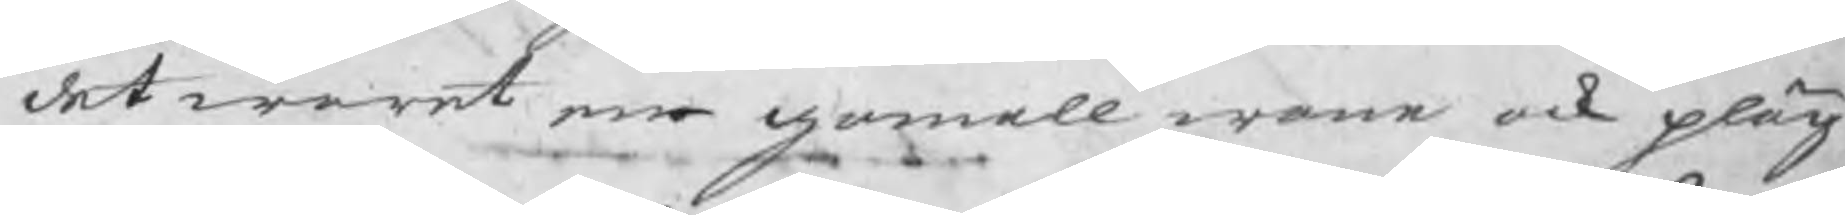det waret en gamall wane ock pläg
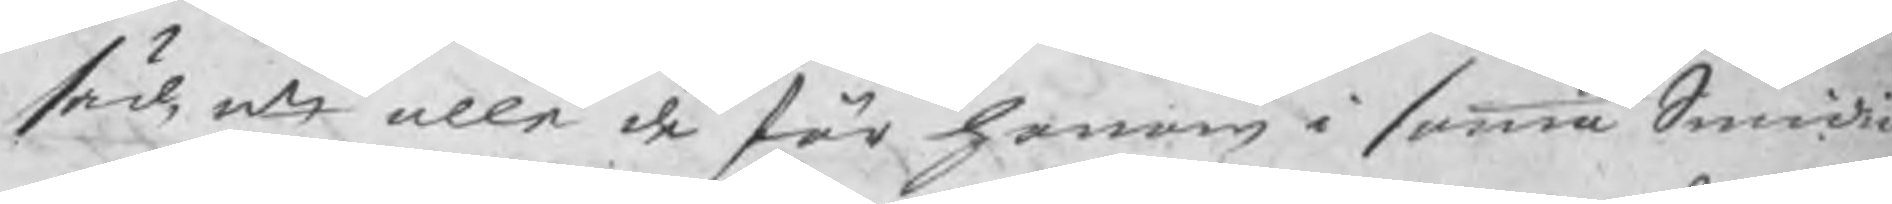säd, uti alle de för honom i samma Smedia
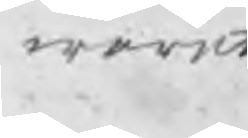waret
